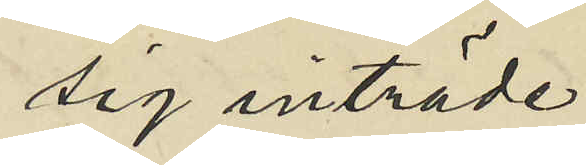sig inträde
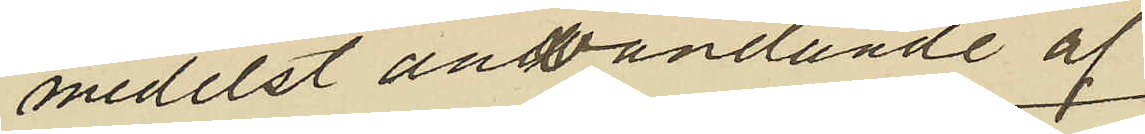medelst användande af
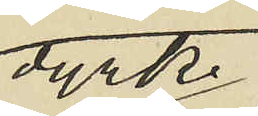dyrk,
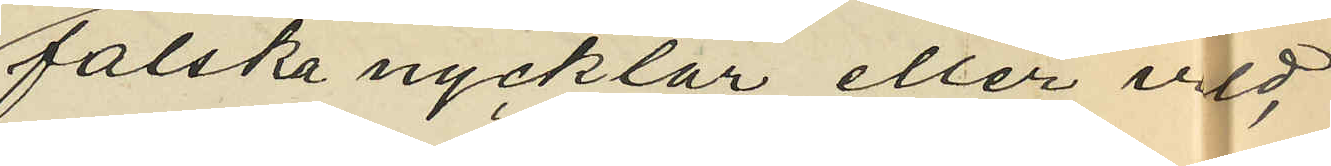falska nycklar eller våld,
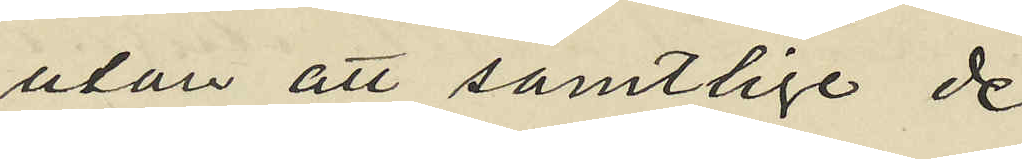utan att samtlige de
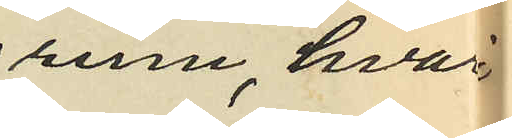rum, hvar
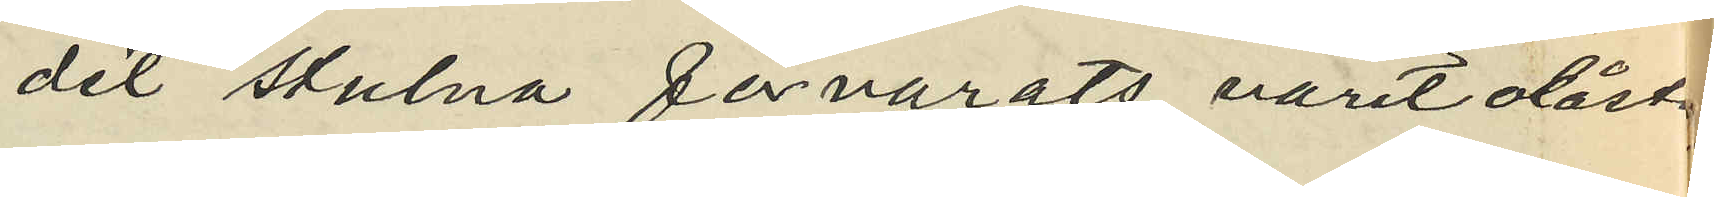det stulna förvarats varit olåst,
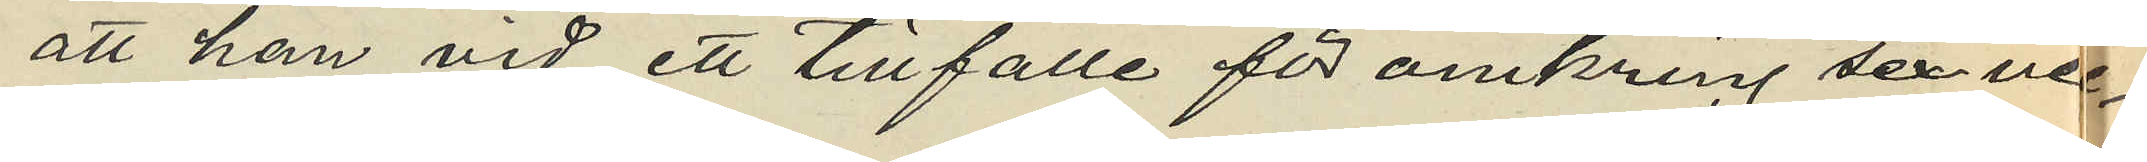att han vid ett tillfälle för omkring sex vec¬
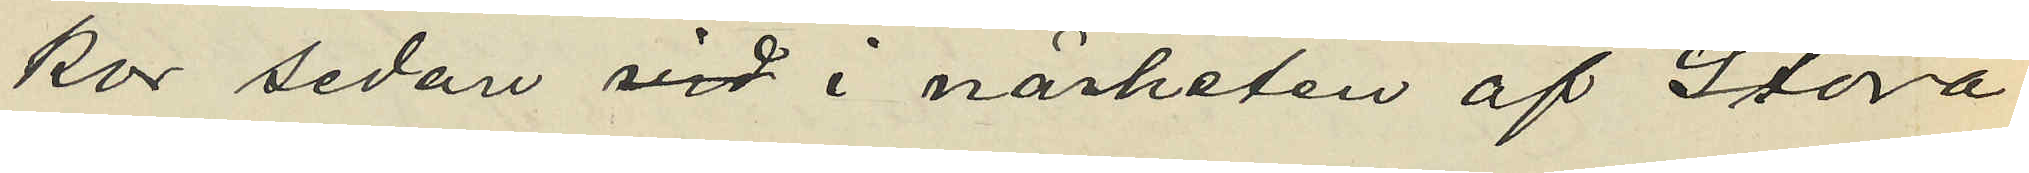kor sedan vid i närheten af Stora
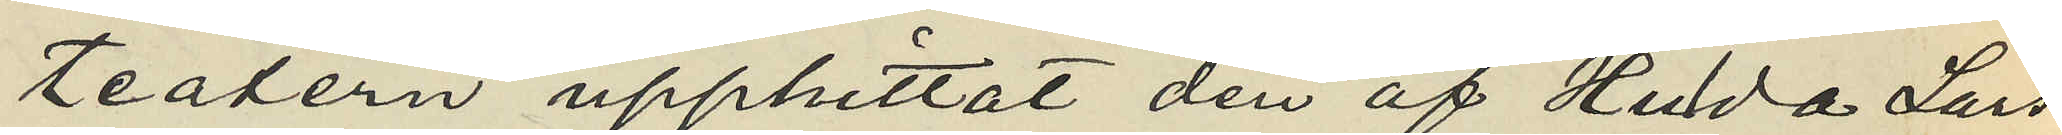teatern upphittat den af Hilda Lars¬
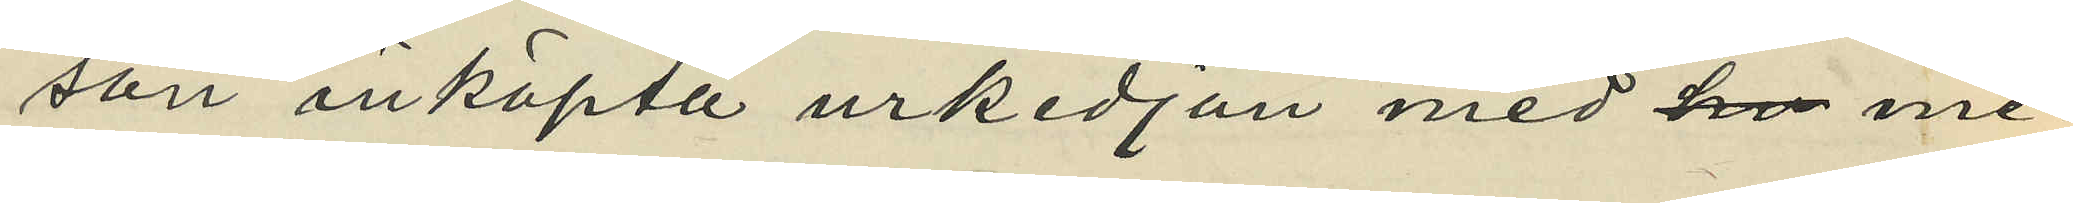son inköpta urkedjan med me¬
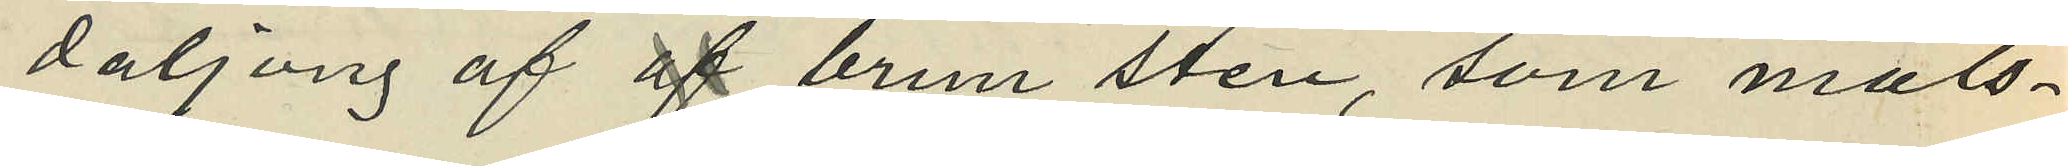daljong af af brun sten, som måls¬
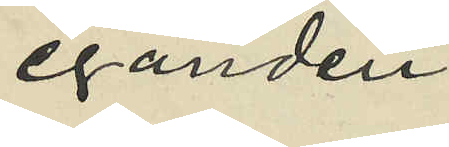eganden
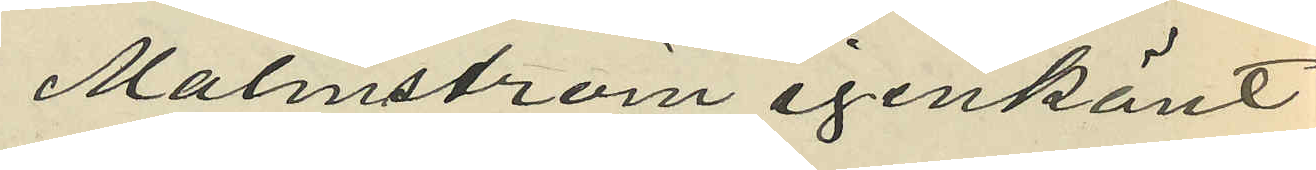Malmström igenkänt
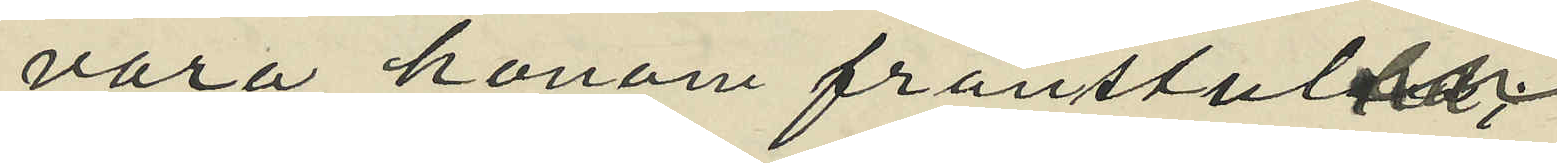vara honom frånstulen,
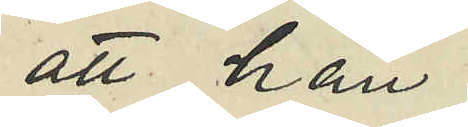att han
